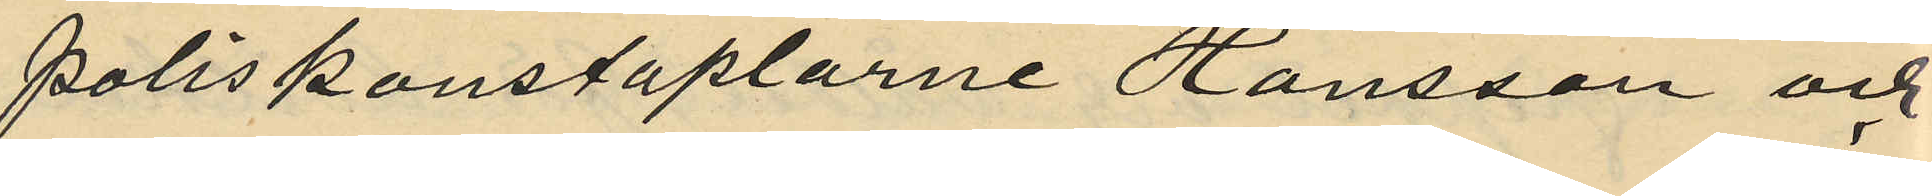poliskonstaplarne Hansson och
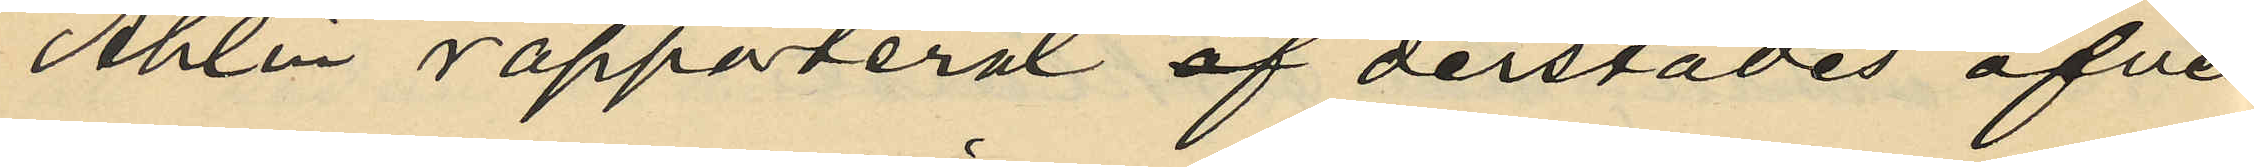Åhlén rapporterat af derstädes öfver¬
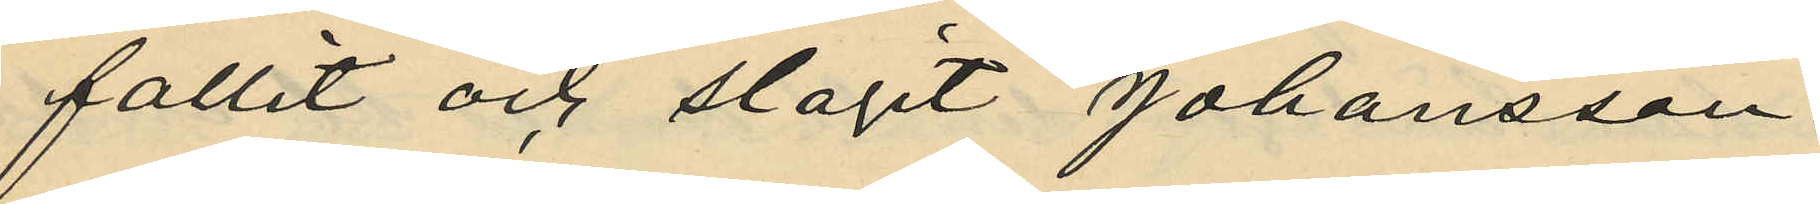fallit och slagit Johansson.
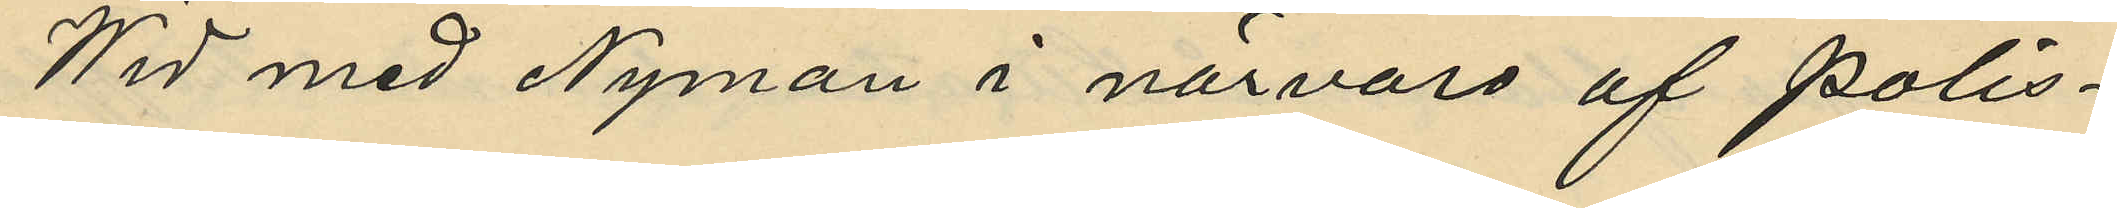Wid med Nyman i närvaro af polis¬
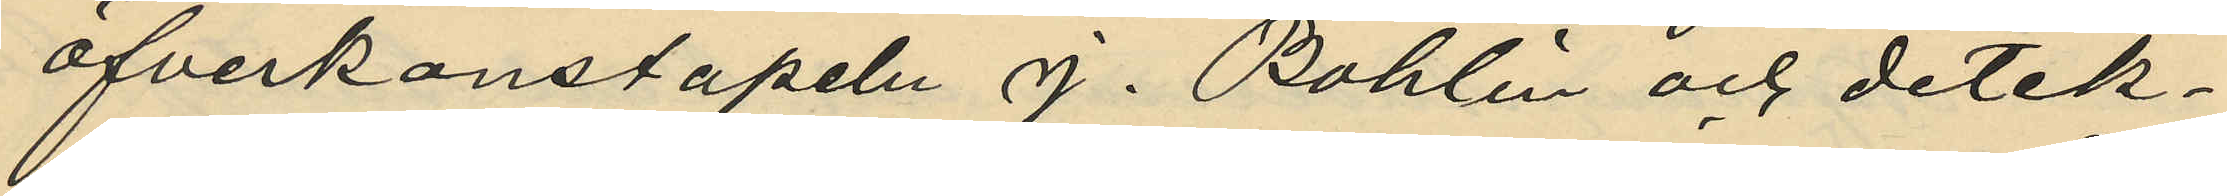öfverkonstapeln J. Bohlin och detek¬
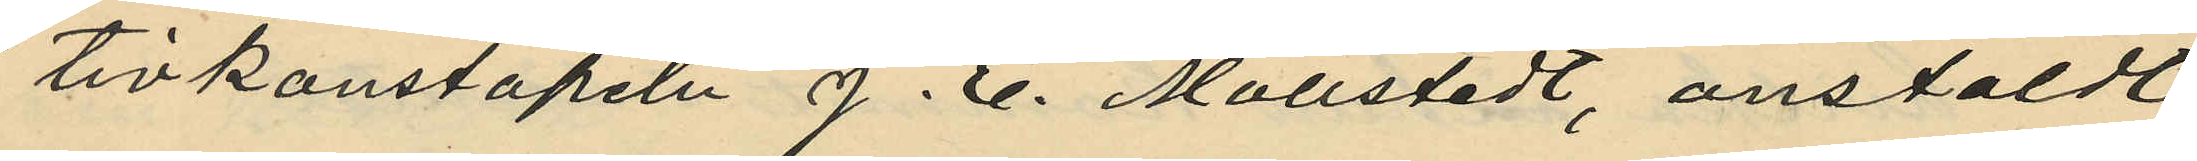tivkonstapeln J. E. Mollstedt, anstäldt
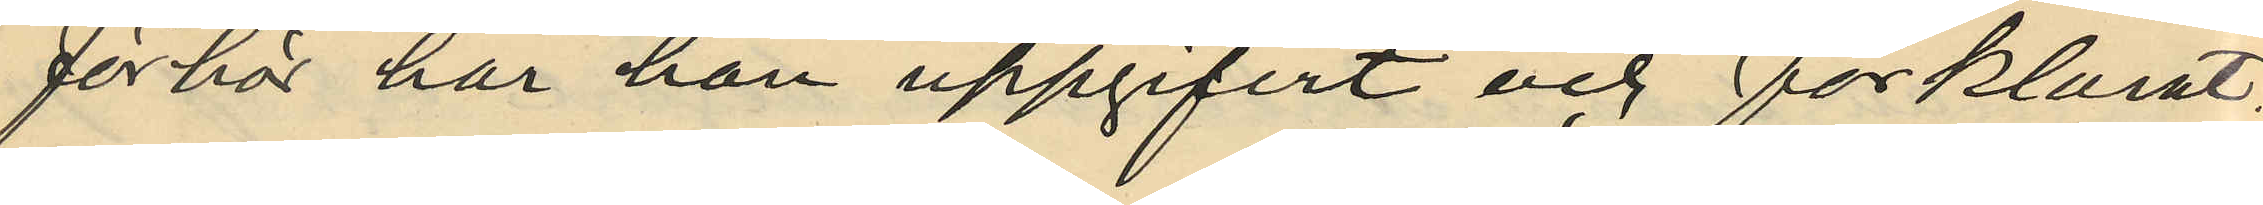förhör har han uppgifvit och förklarat:
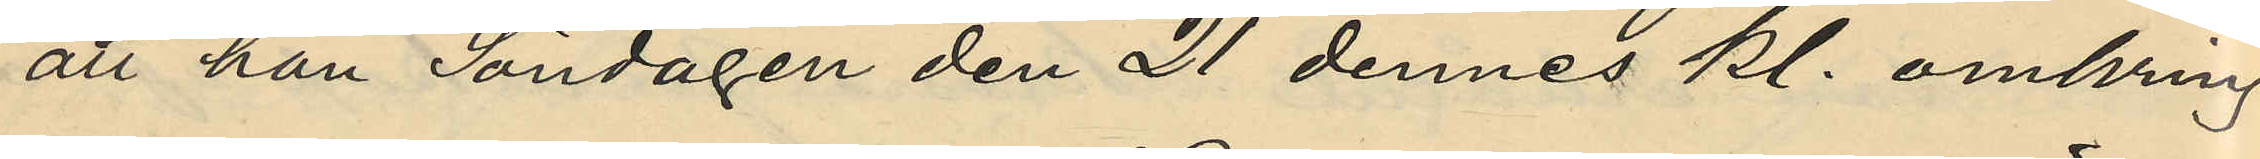att han Söndagen den 21 dennes kl. omkring
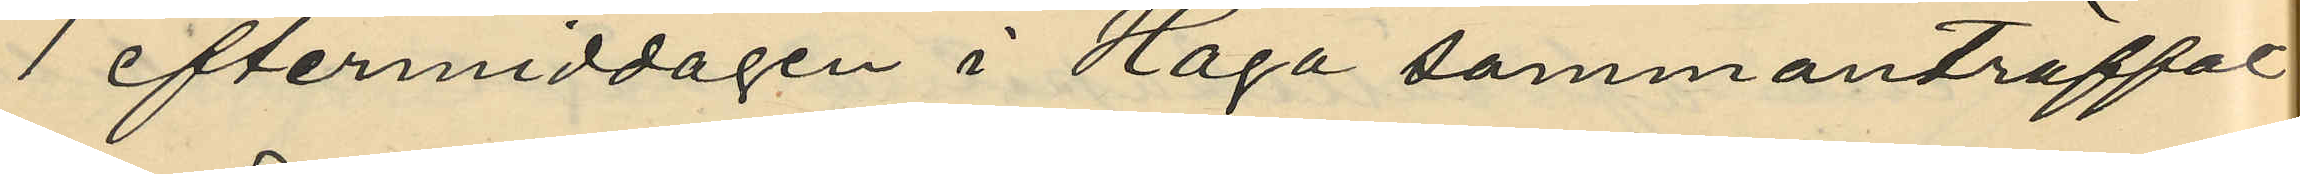1 eftermiddagen i Haga sammanträffat
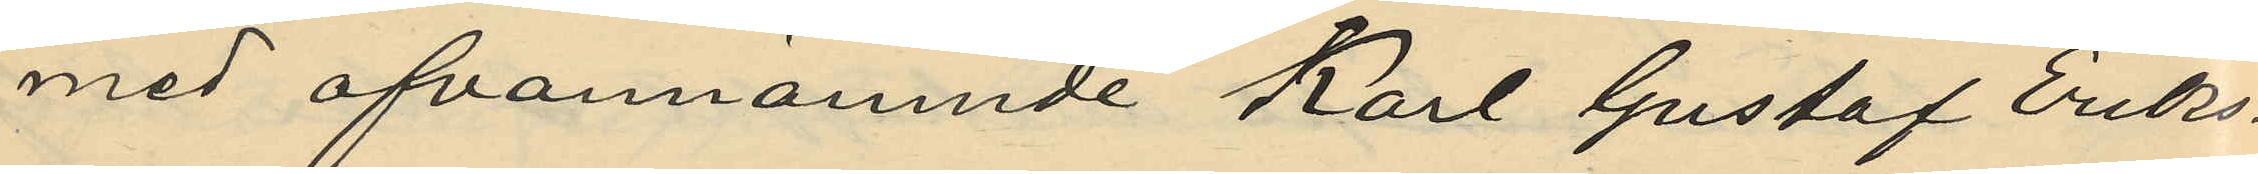med ofvannämnde Karl Gustaf Eriks¬
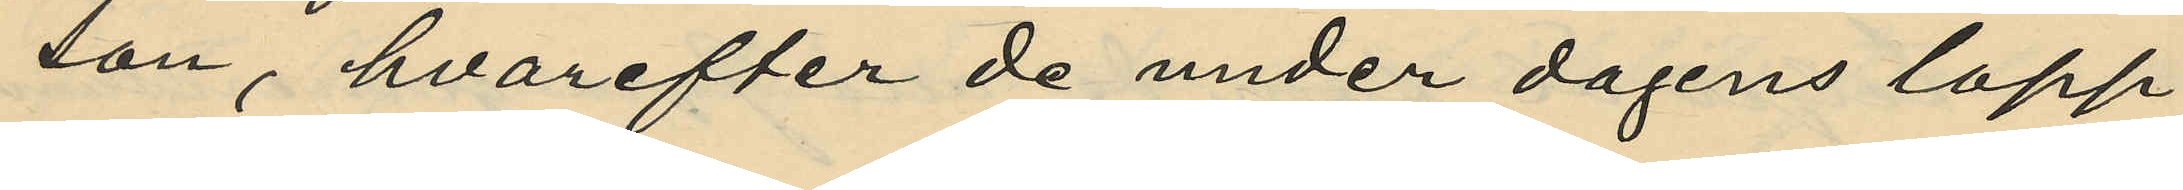son, hvarefter de under dagens lopp
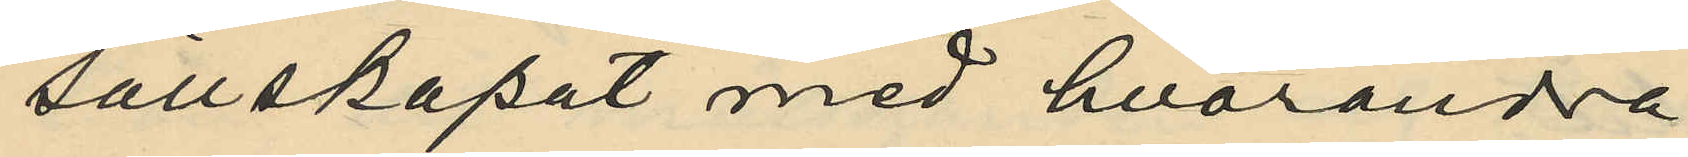sällskapat med hvarandra;
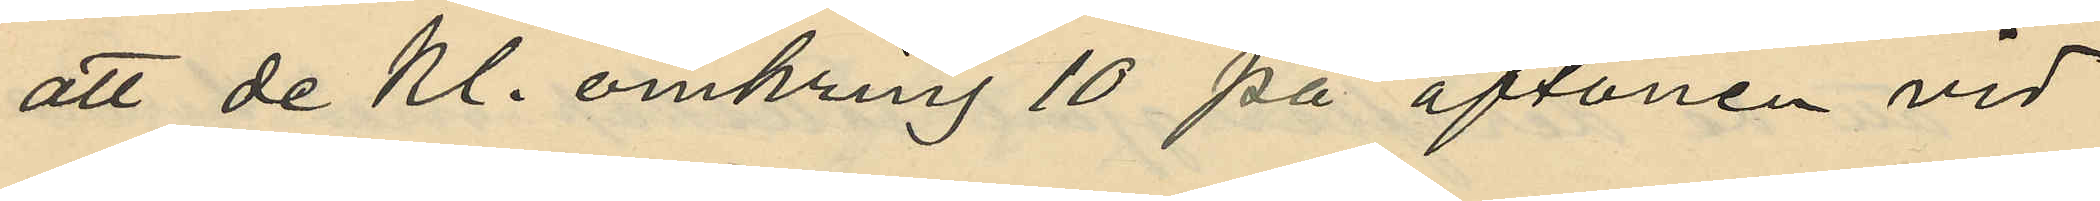att de Kl. omkring 10 på aftonen vid
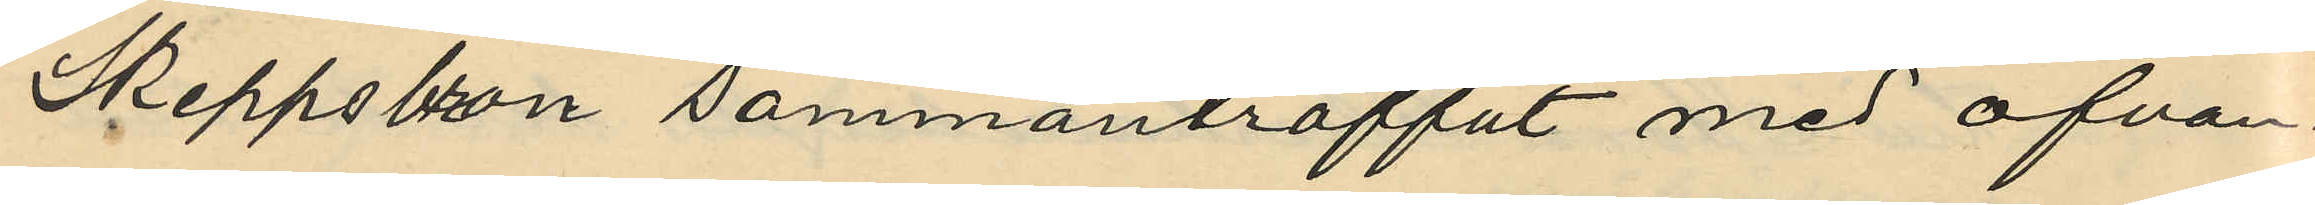Skeppsbron sammanträffat med ofvan¬
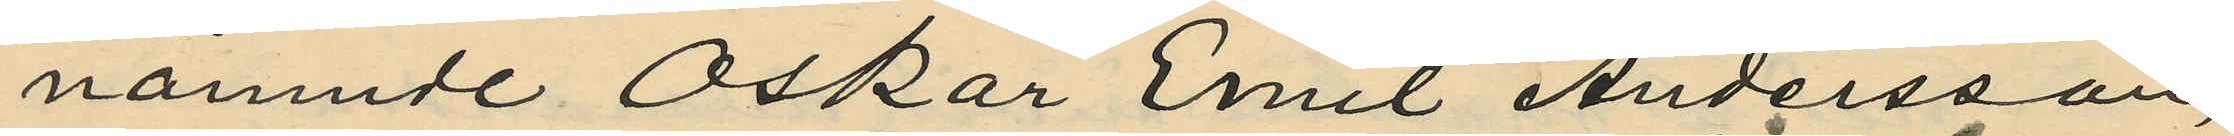nämnde Oskar Emil Andersson,
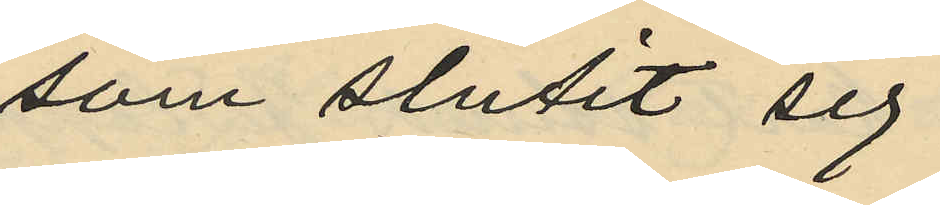som slutit sig
